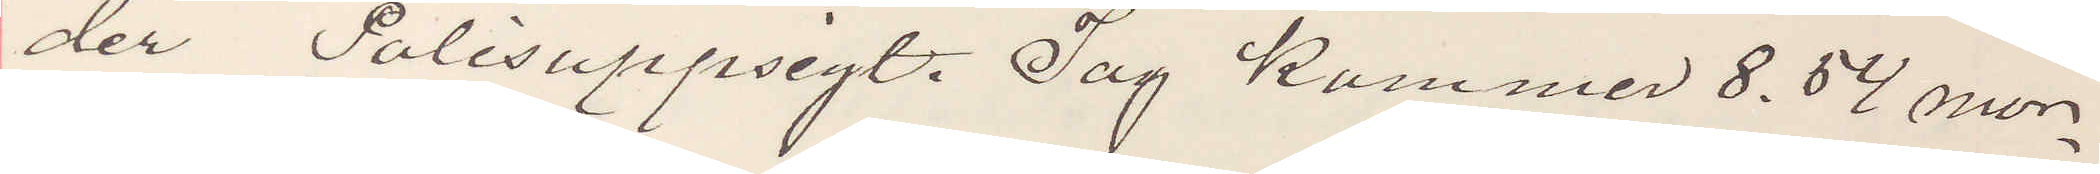der Polisuppsigt. Jag kommer 8,54 mor¬
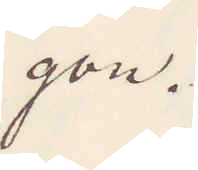gon.
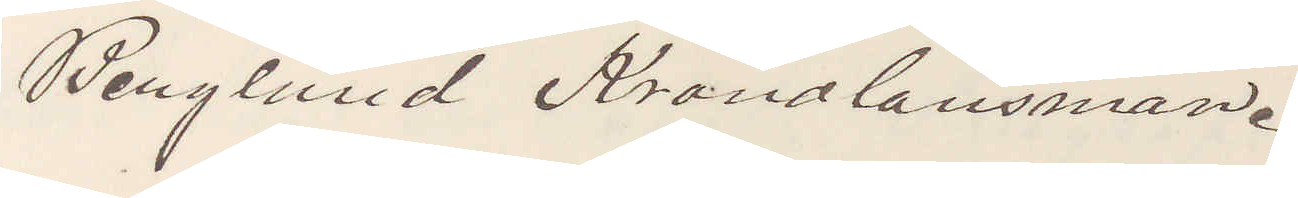Berglund Kronolänsman.
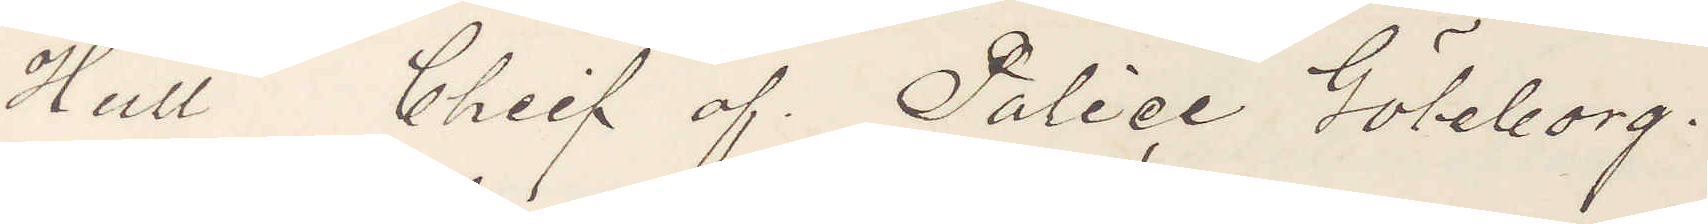Hull Chief of Police Göteborg.
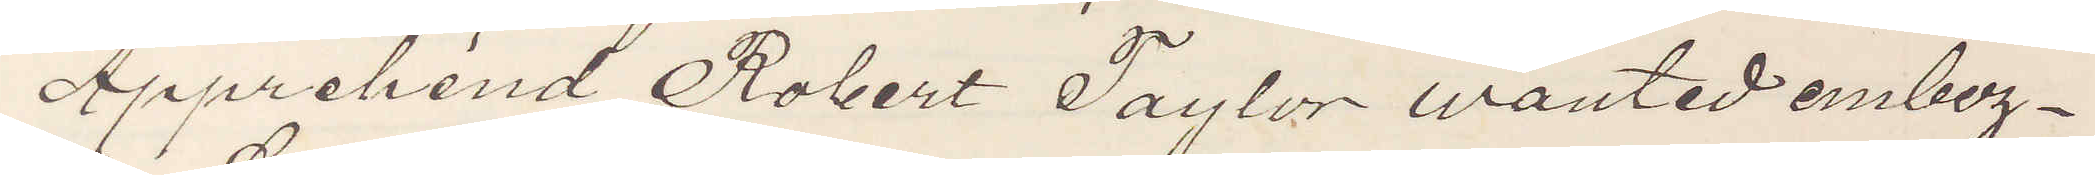Apprehend Robert Taylor wanted embez¬
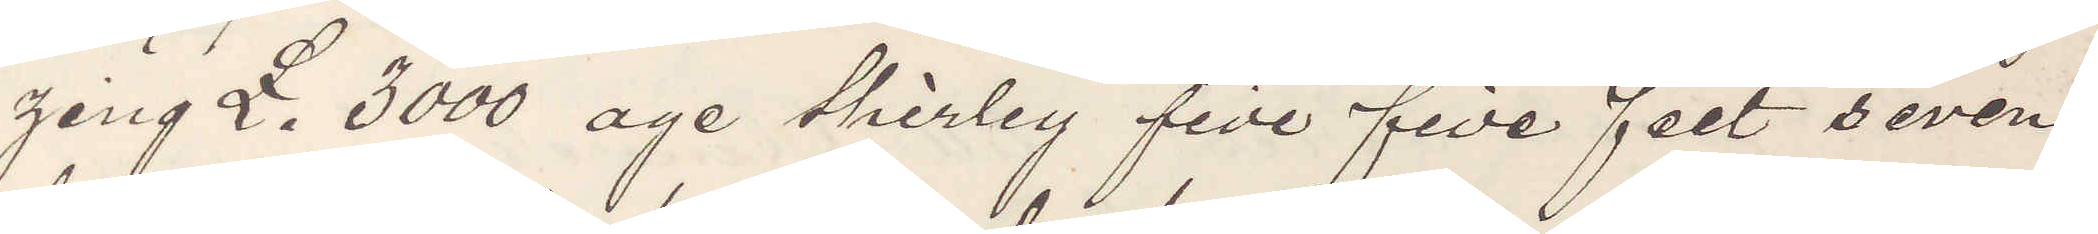zing £. 3000 age thirley five five feet seven
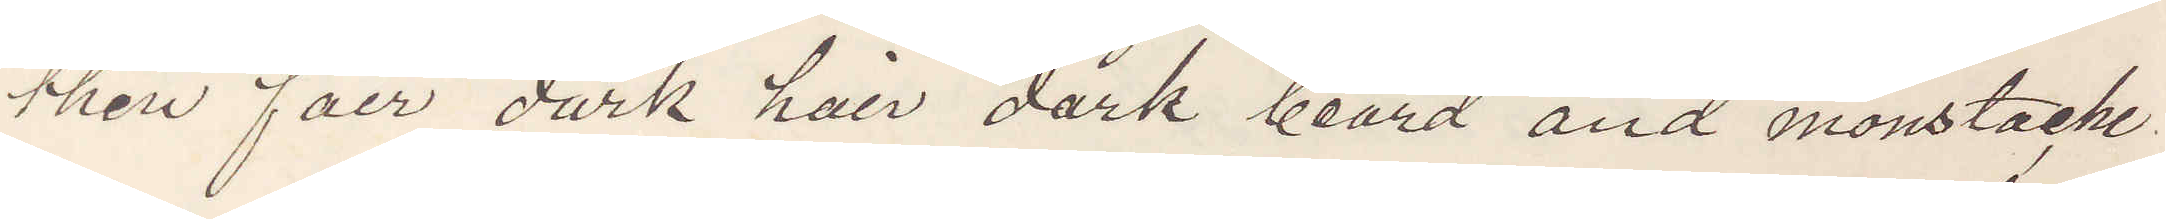then fair dark hair dark beard and moustache
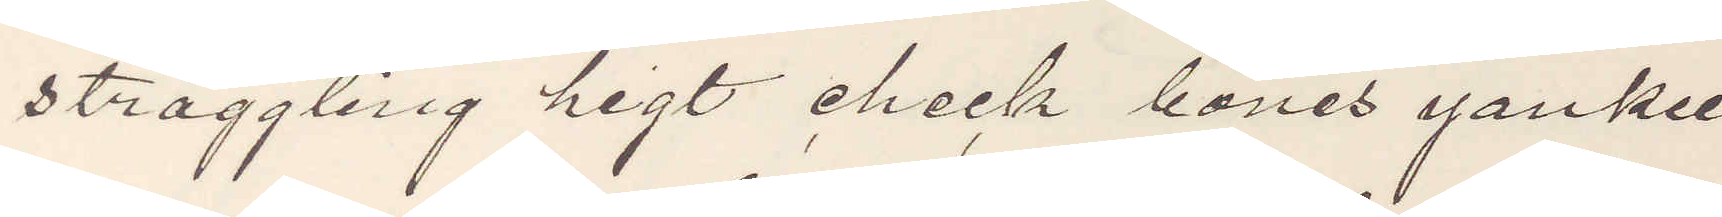straggling higt cheek bones yankee
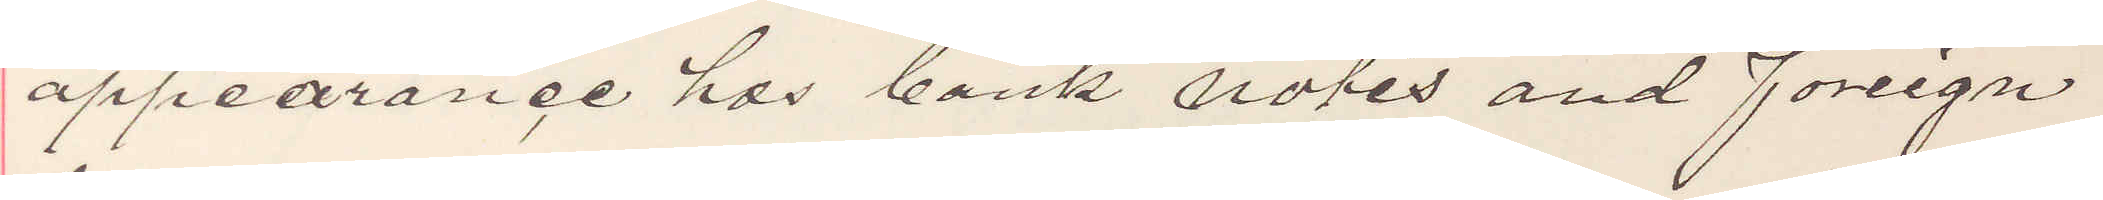appearance has bank notes and foreign
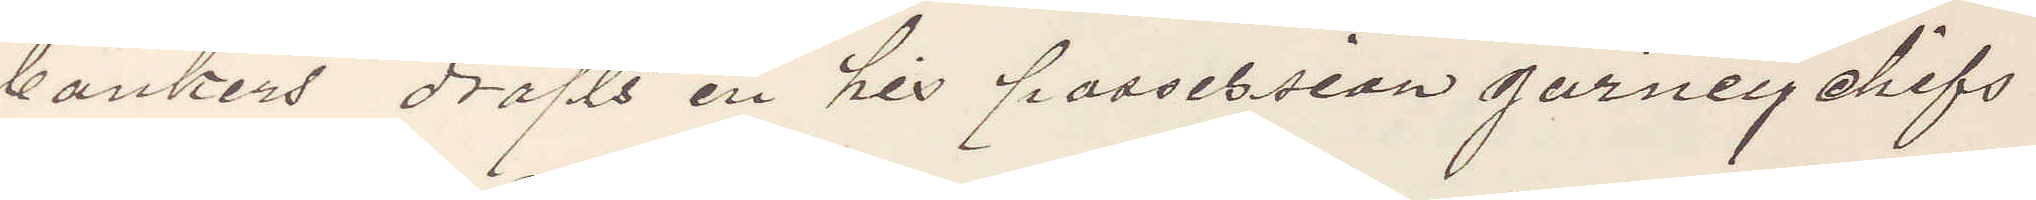bankers drafts in his possession garney chifs
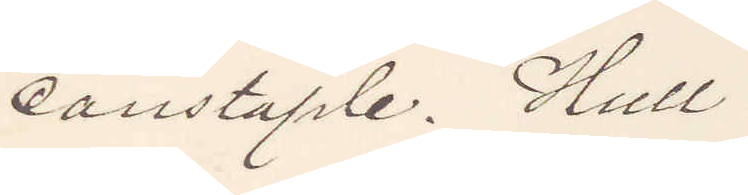constaple. Hull
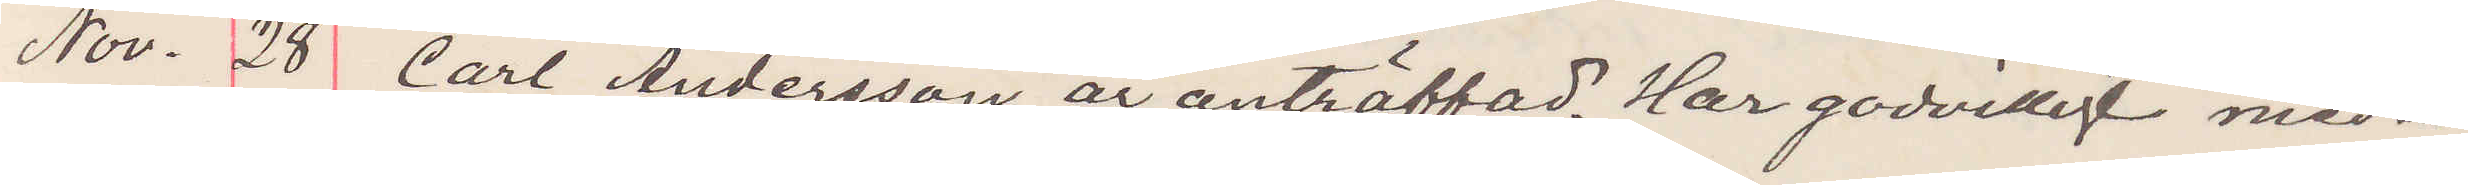Nov. 28 Carl Andersson är anträffad. Har godvilligt med¬
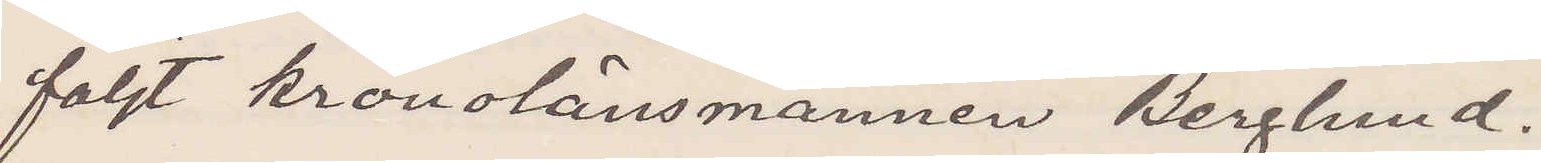följt kronolänsmannen Berglund.
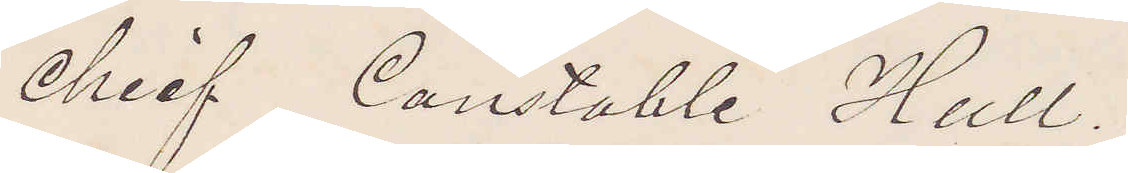Chief Constable Hull.
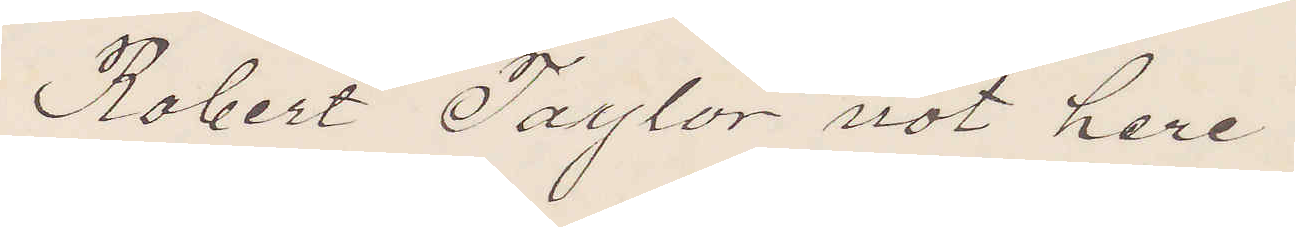Robert Taylor not here
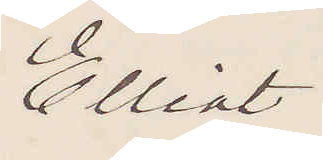Elliot
